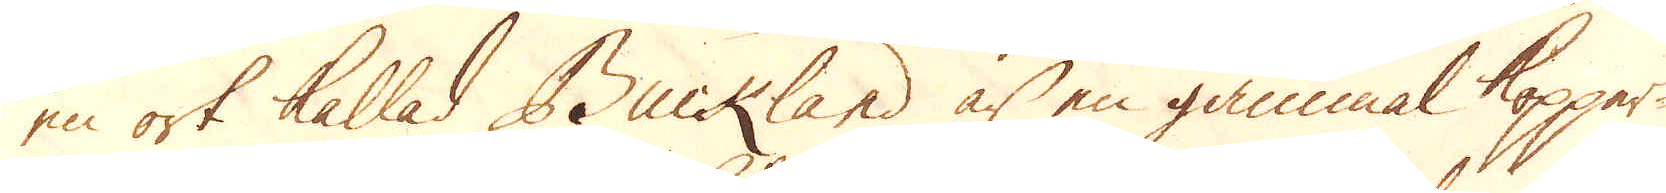en ort kallad Buckland är en gammal kopper-
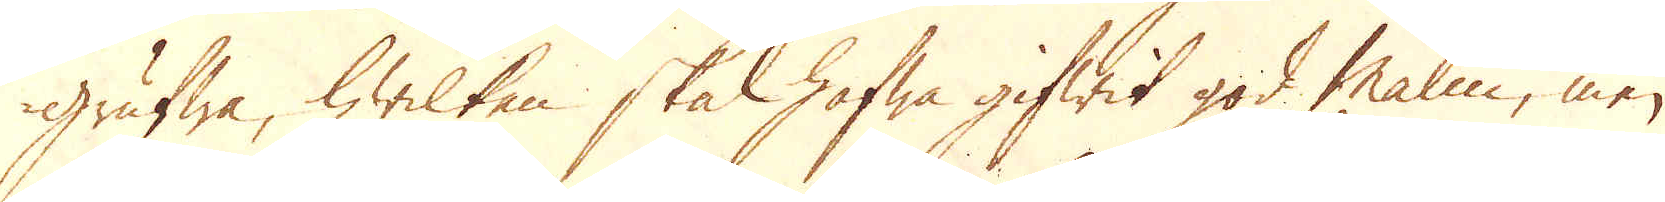grufwa, hwilken skal hafwa gifwit god Malm, men
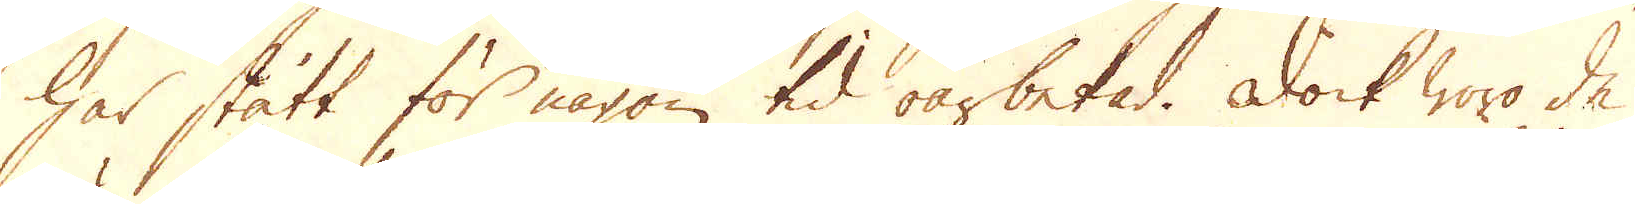har stått för någon tid oarbetad. Dock woro de
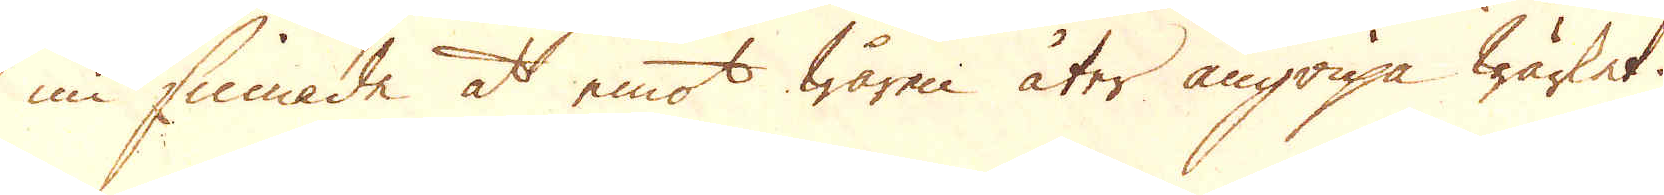nu sinnade at emot wåren åter angripa wärket.
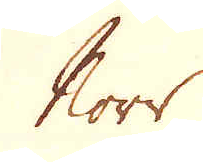Norr.
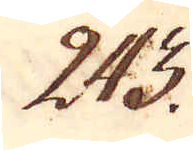243.
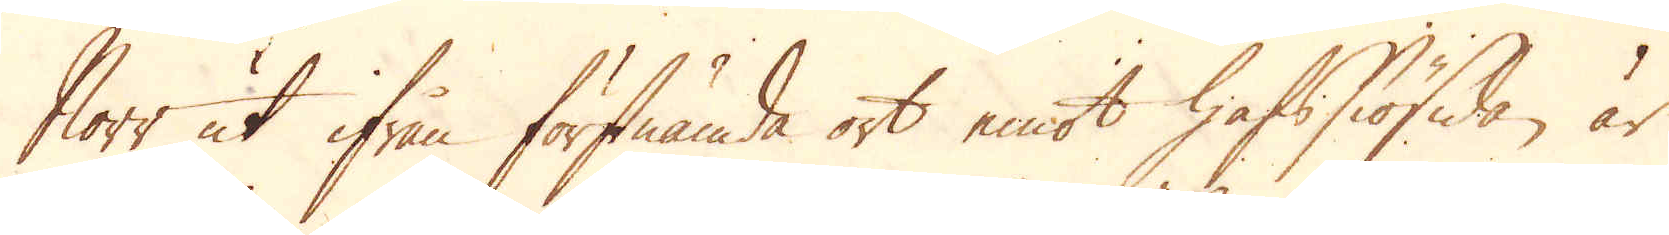Norr ut ifrån förstnämda ort emot hafssiösidan är
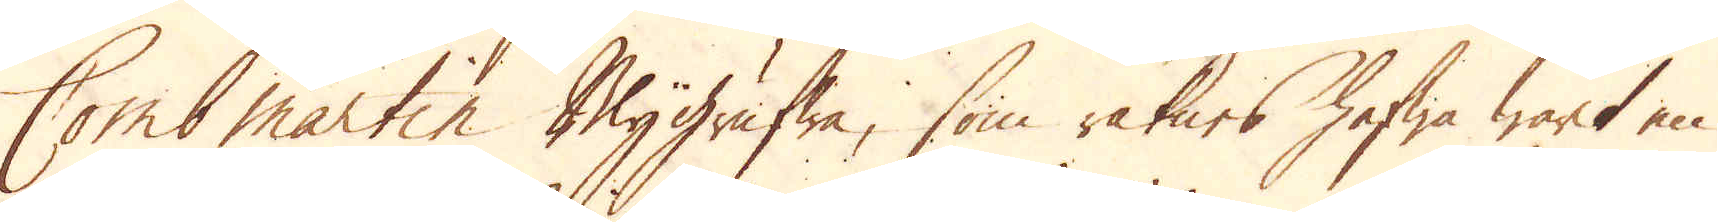Comb Martin Blygrufwa, som räknas hafwa warit en
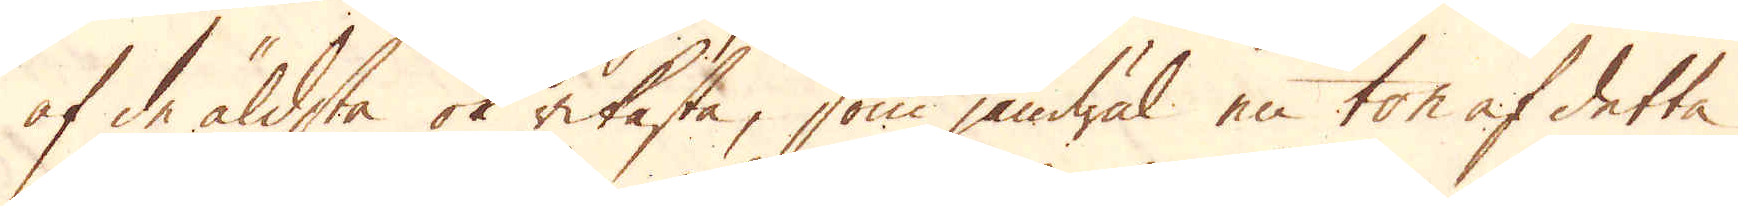af de äldsta ok rikaste, som jämwäl en ton af detta
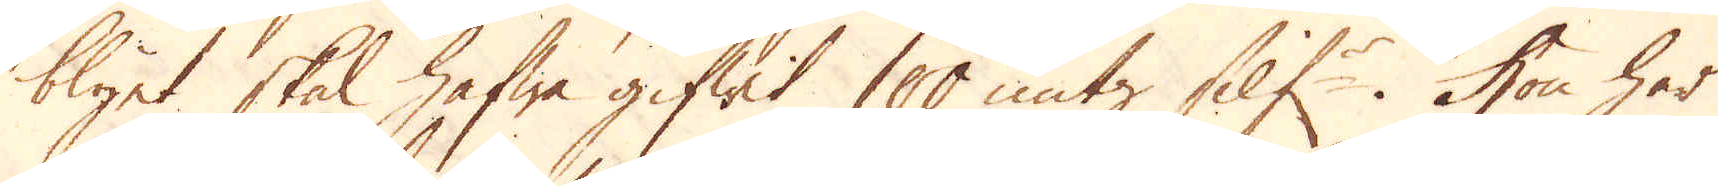blyet skal hafwa gifwit 100 untz Silf:r. Hon har
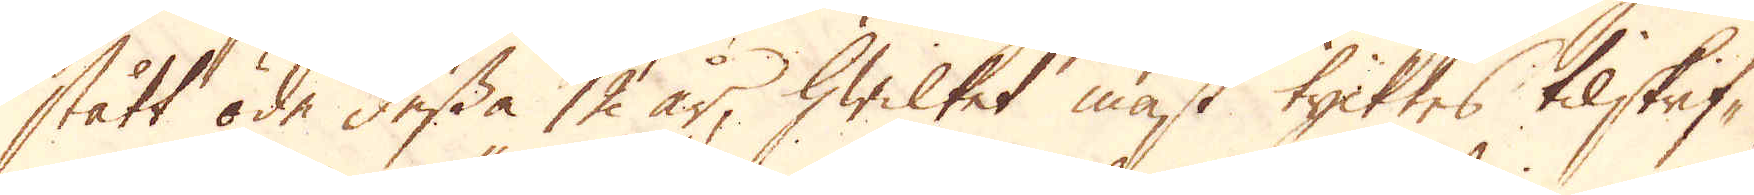stått öde dessa 12 år, hwilket mäst tycktes tilskrif-
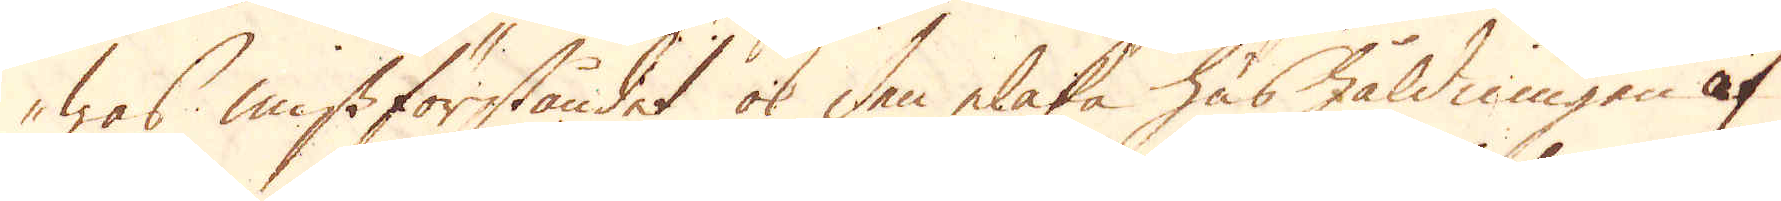was missförståndet ok den elaka hushåldningen af
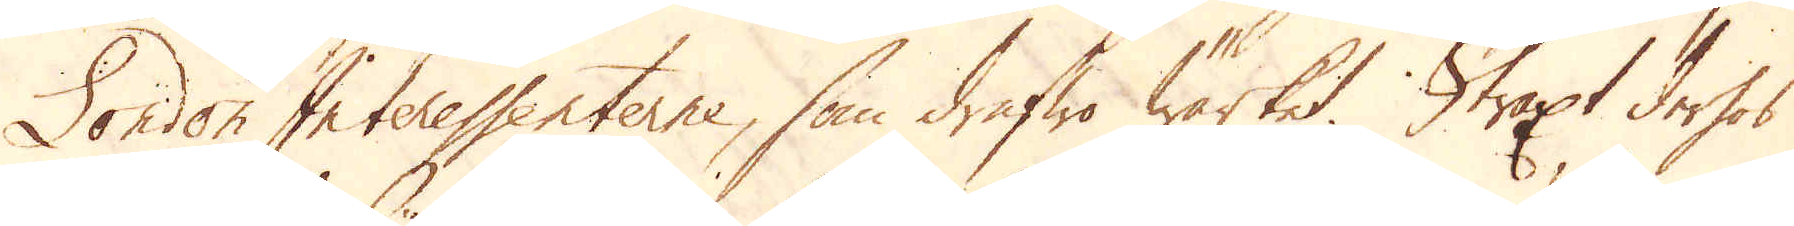London Interessenterne, som drifwa Wärket. Straxt derhos
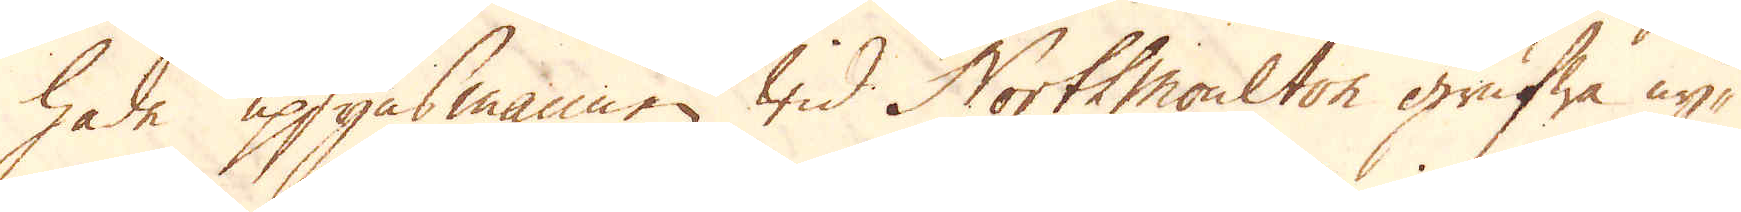hade upsynsmannen wid North Moulton grufwa ny-
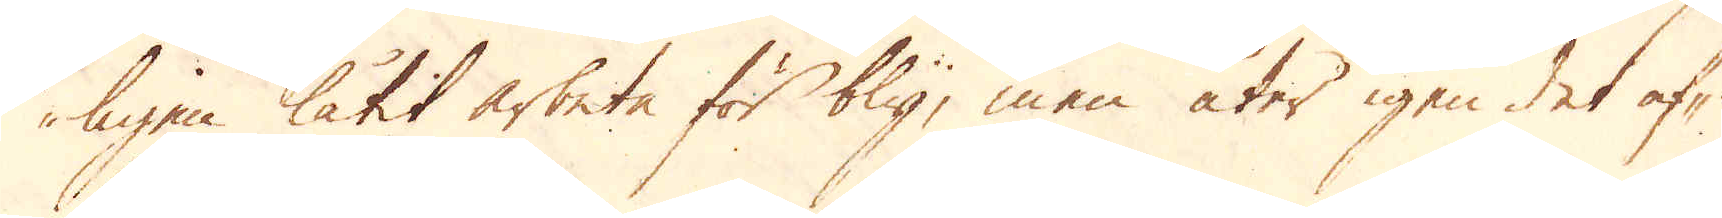ligen låtit arbete för bly, men åter igen det af-
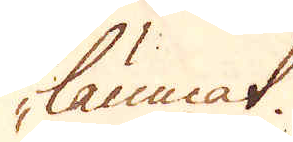lämnat.
